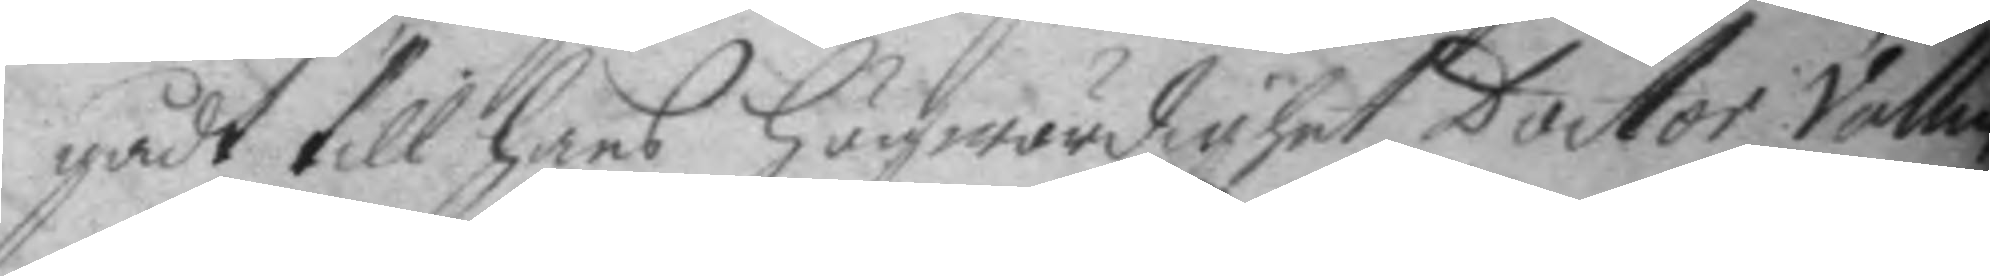gådt till hans högwördighet Doctor Vallm
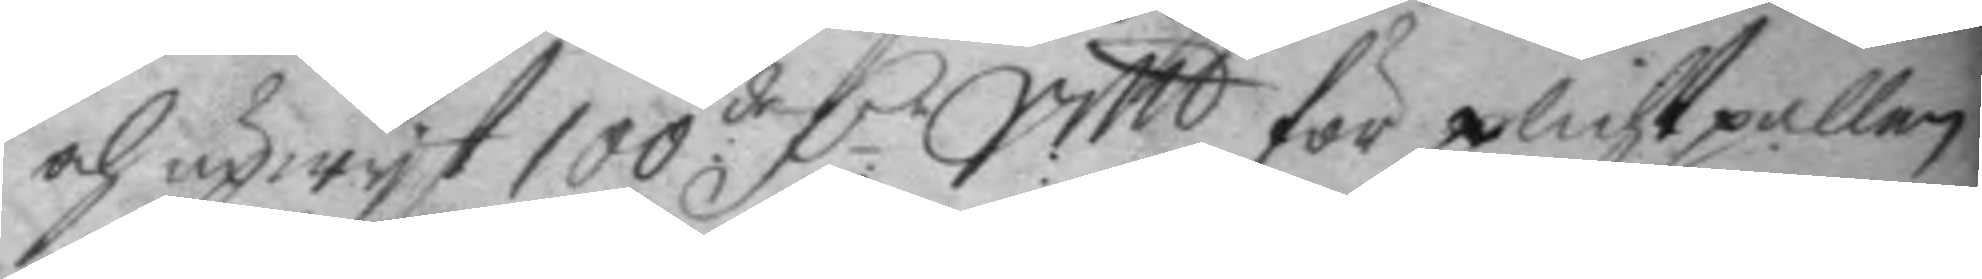och upwyst 100:de D.r Smt för plichtpallen
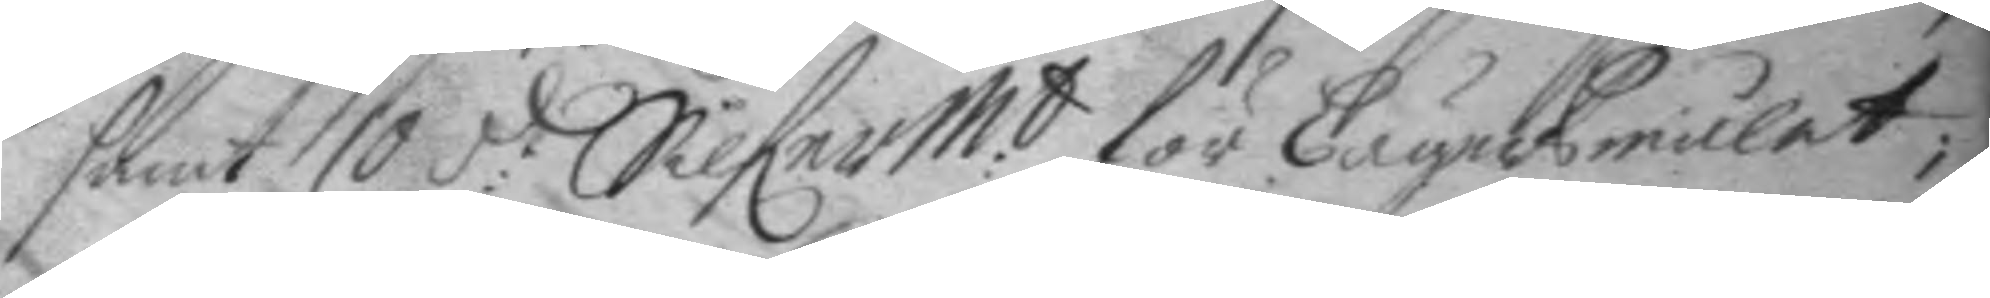samt 10 d:r Silferm:t för Lägersmålet
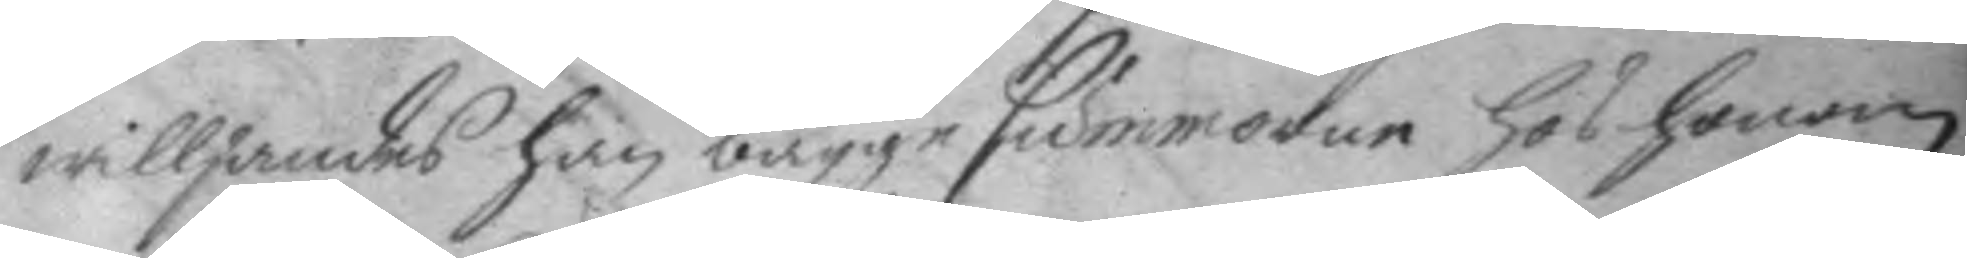willjandes han bägge summorne hos honom
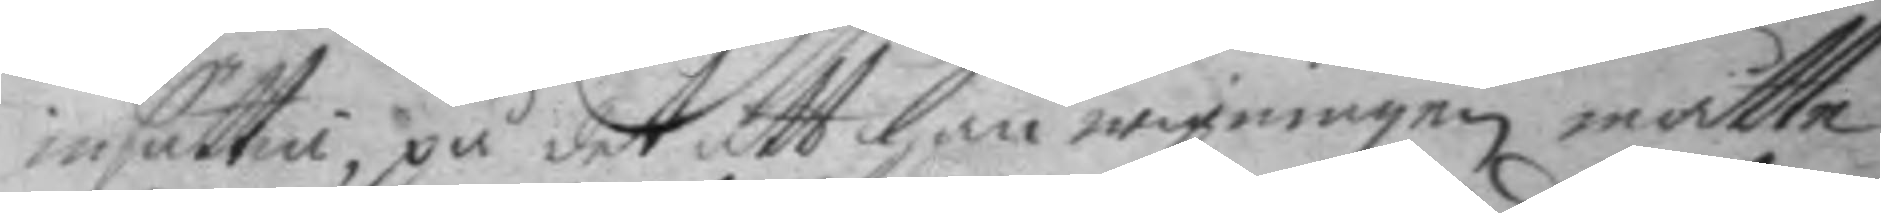insättia, på det att han wigningen måtte
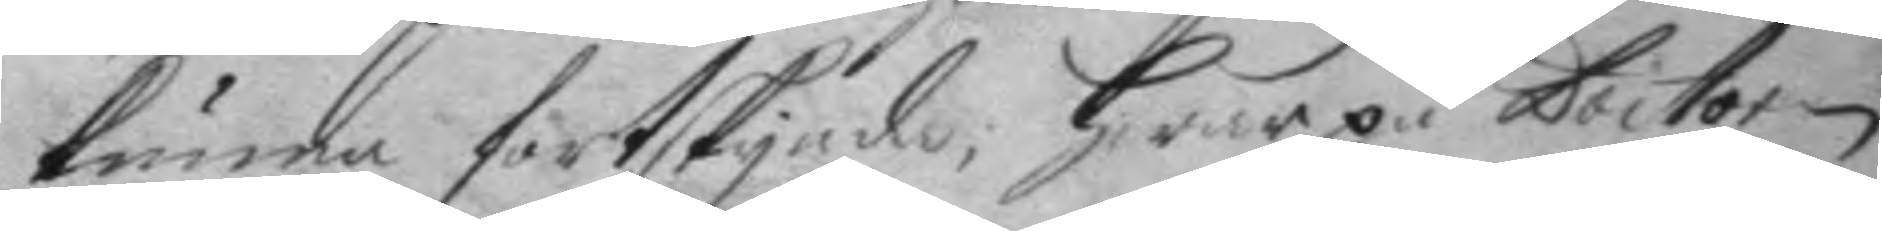kunna fortskynda, jwar på Doctorn
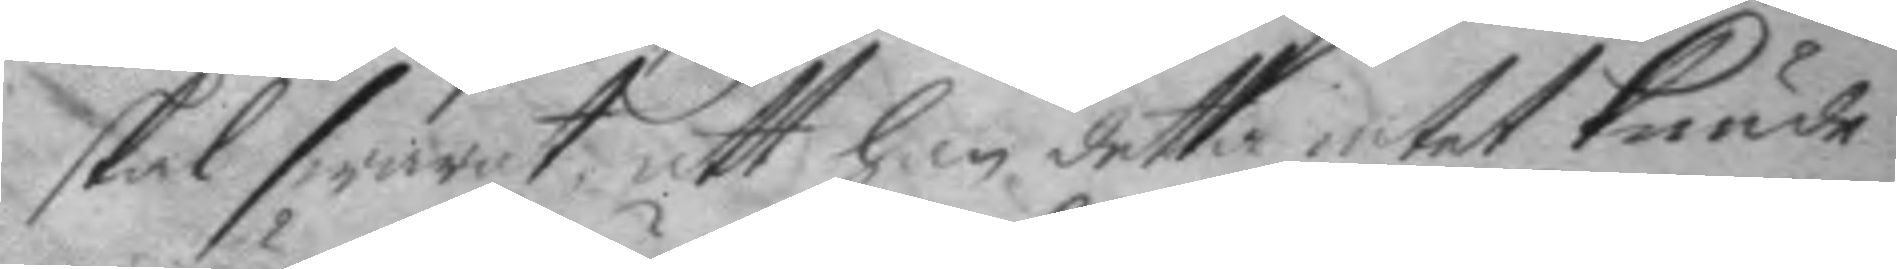skal swarat att han detta intet kunde
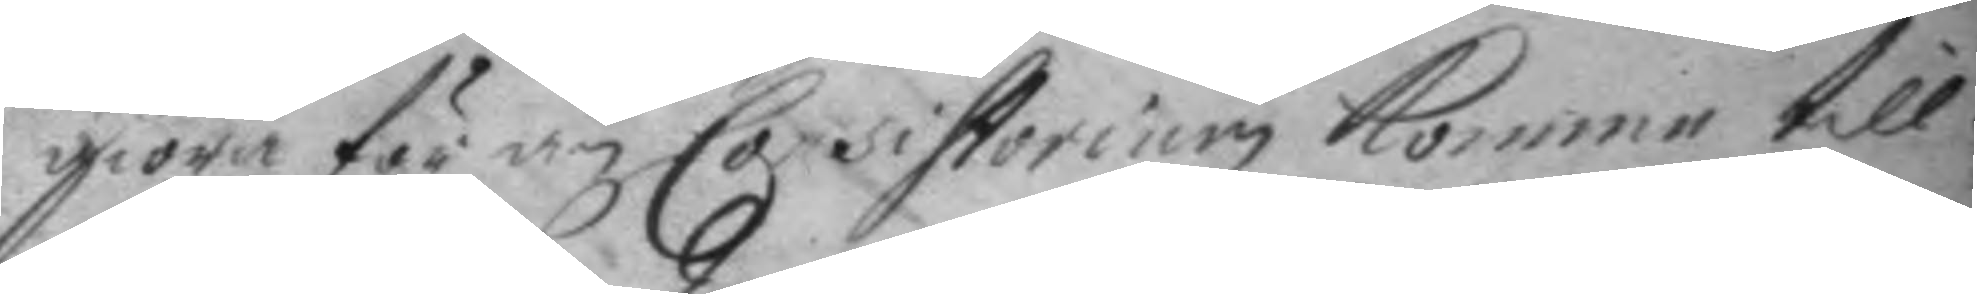giöra för än Consistorium komme till
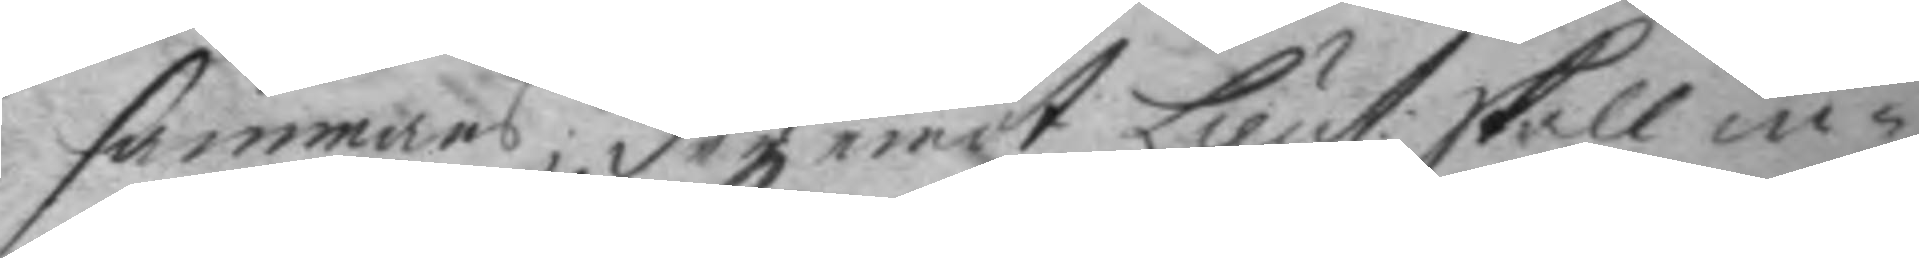sammans; der emot Lieut: skall in¬
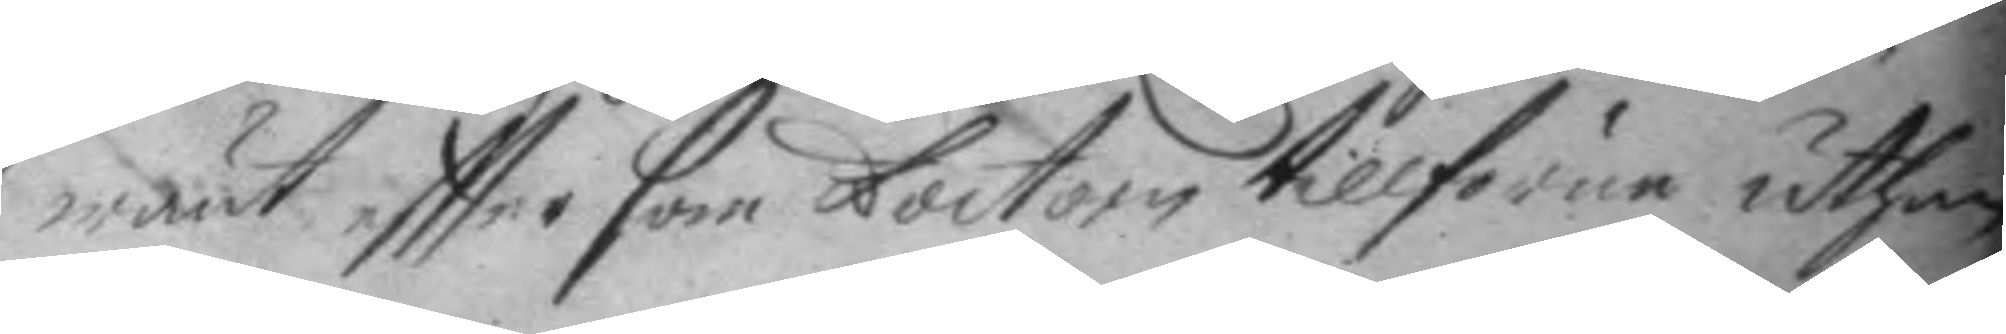wänt eftter som Doctorn tillförene uthan
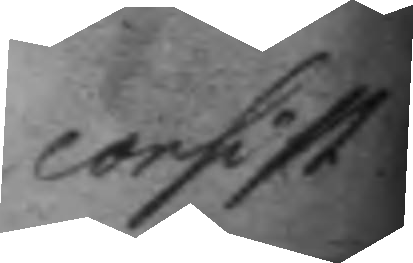consist
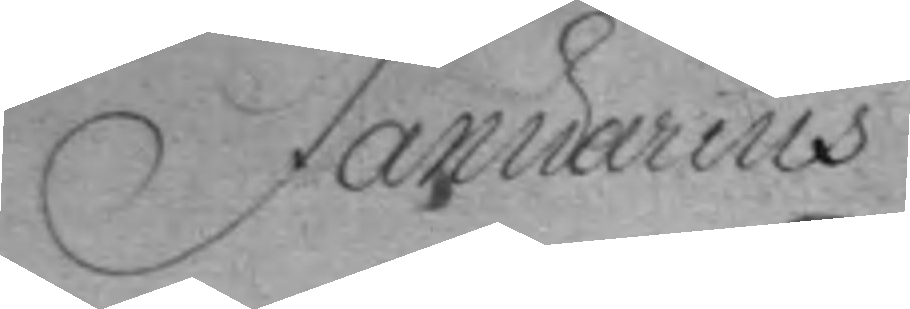Januarius
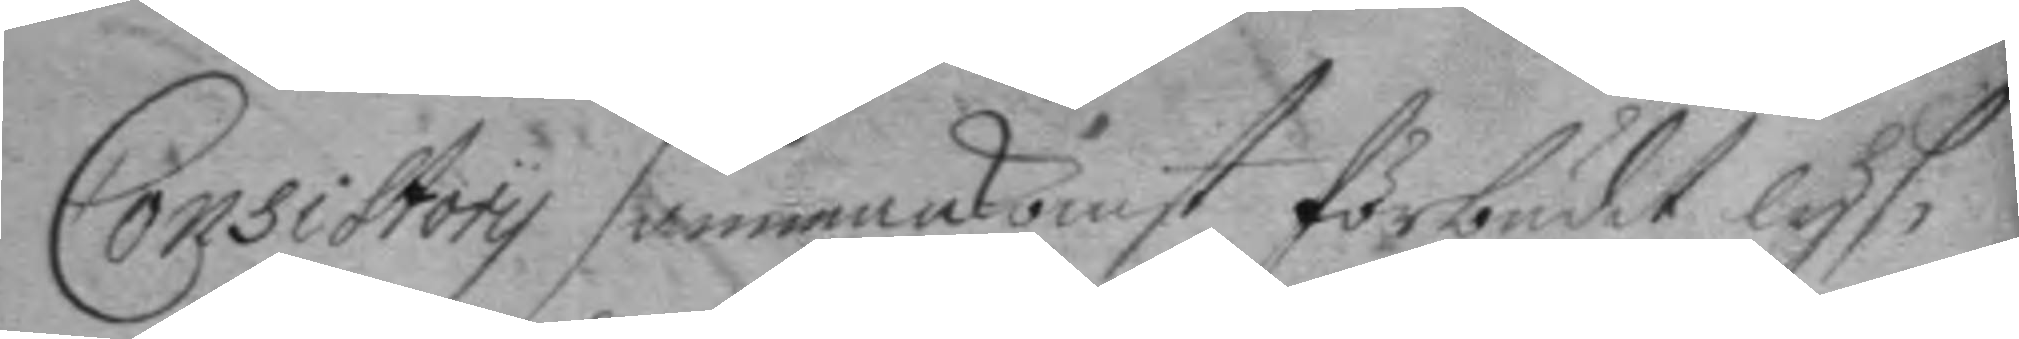Consistory sammankomst förbudit lys¬
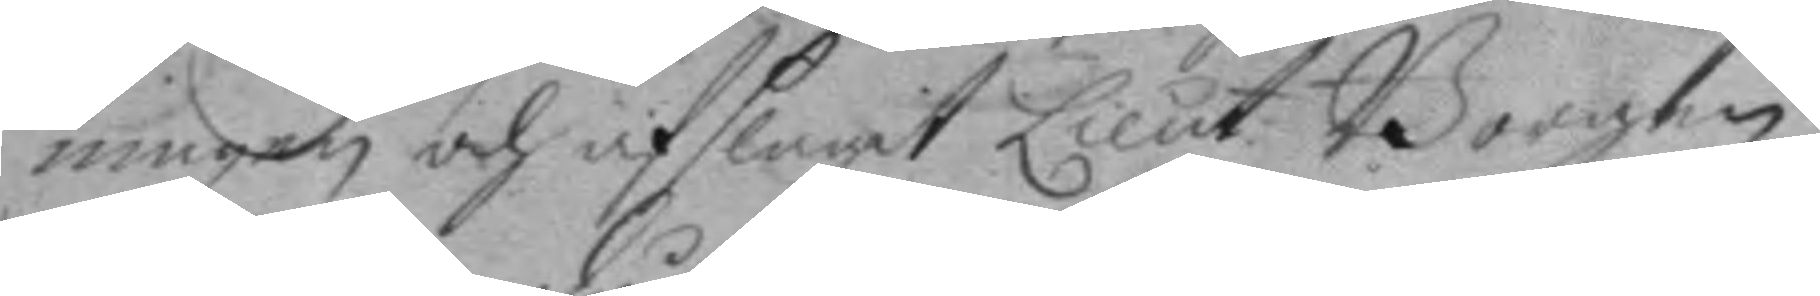ningen och afslagit Lieut. Borgen
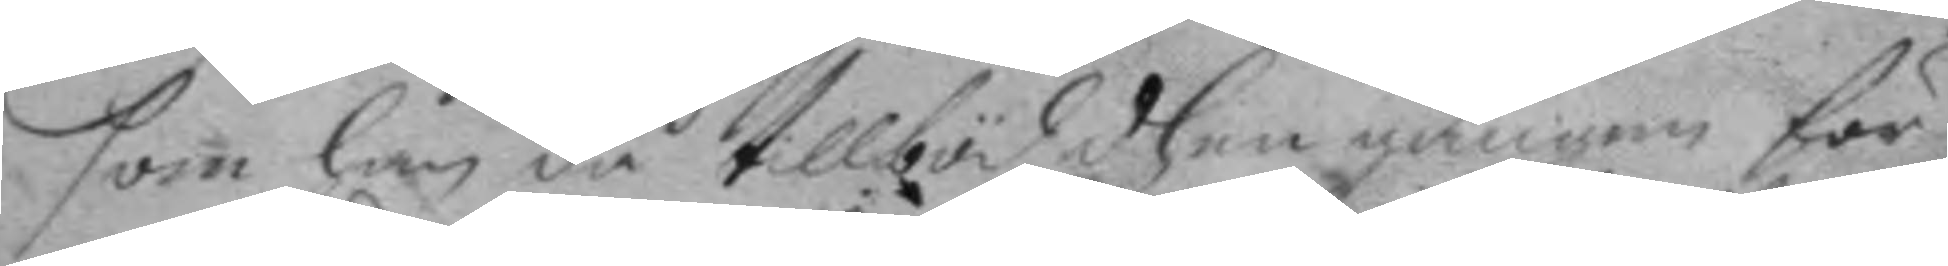som han då tillböd dhen gången för
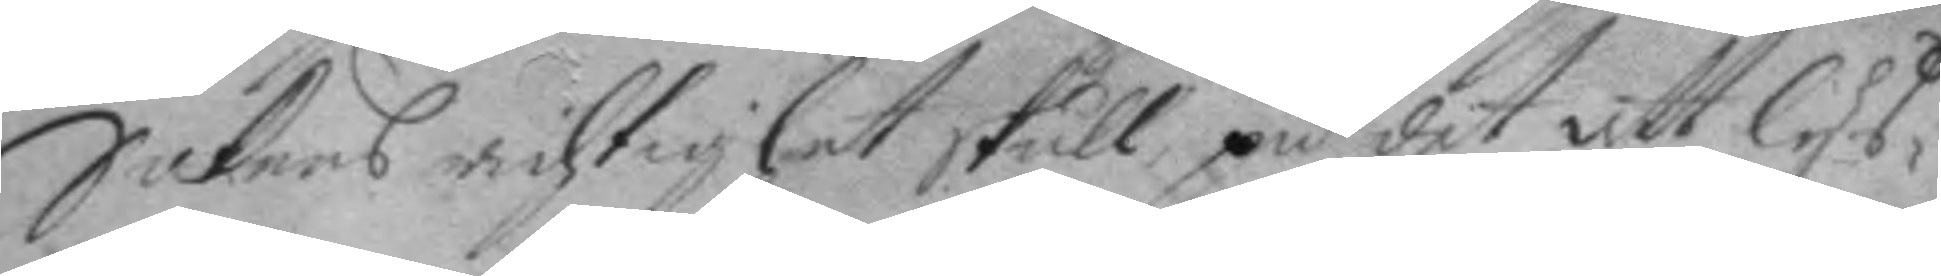Sakens richtighet skull på det att lys¬
